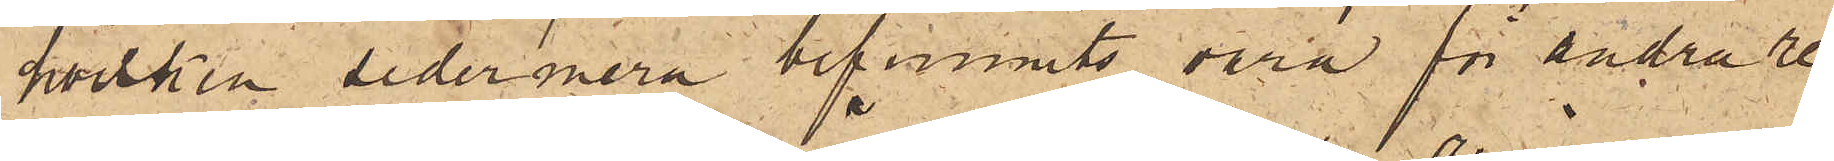hvilken sedermera befunnits vara för andra re¬
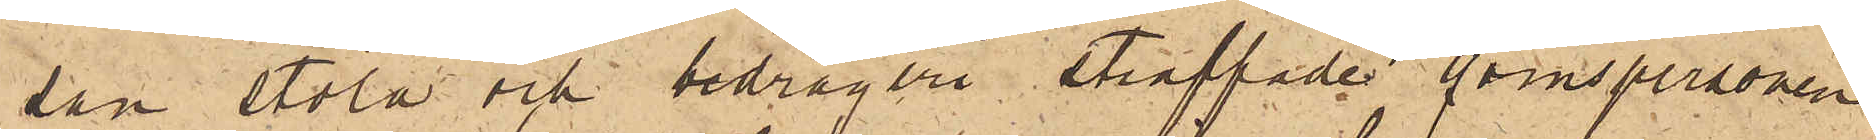san stöld och bedrägeri straffades qvinspersonen
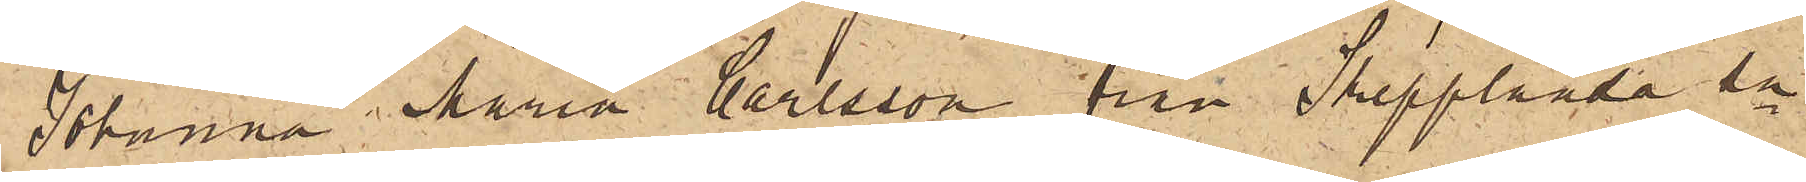Johanna Maria Carlsson från Skepplanda sn
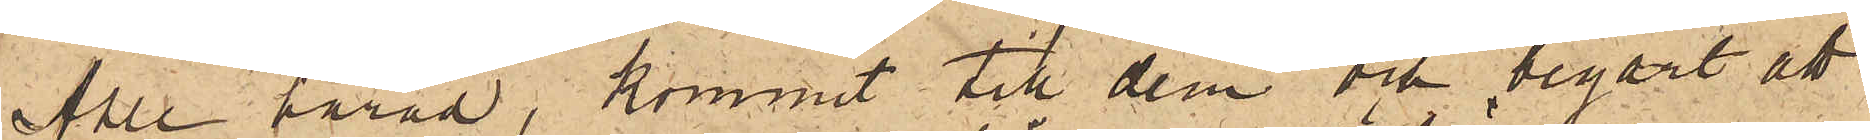Ahle härad, kommit till dem och begärt att
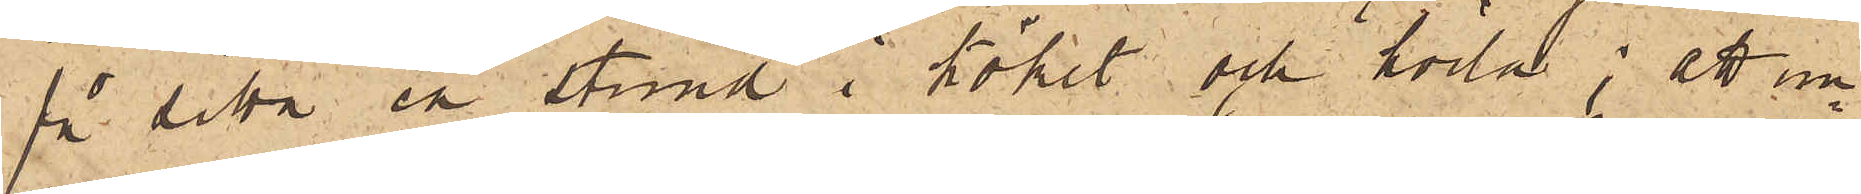få sitta en stund i köket och hvila; att un¬
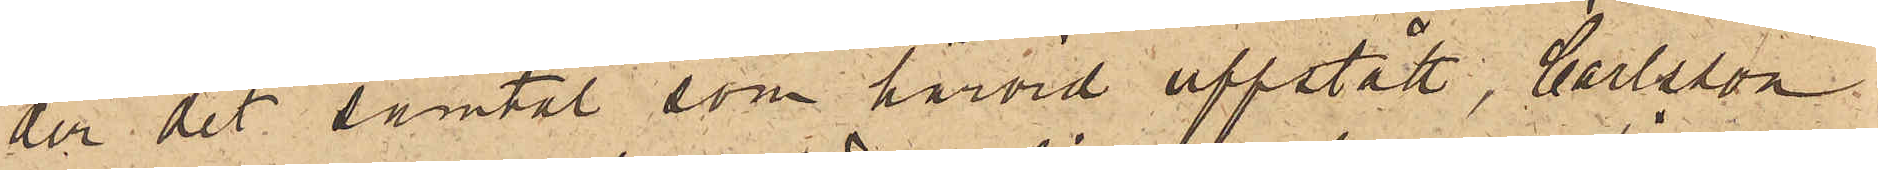der det samtal som härvid uppstått, Carlsson
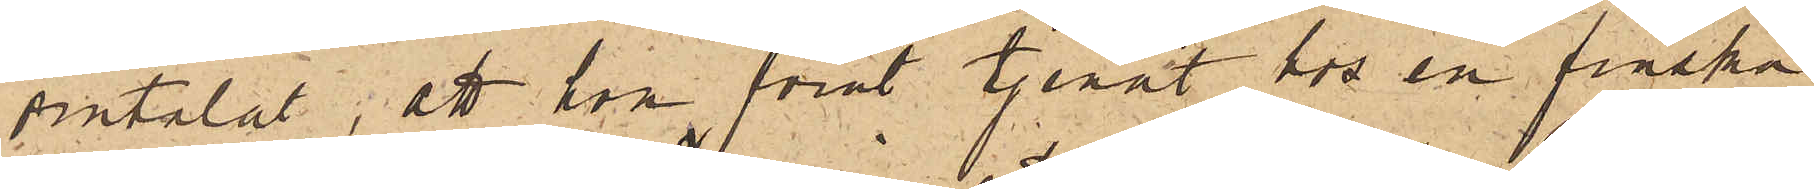omtalat, att hon förut tjenat hos en finska
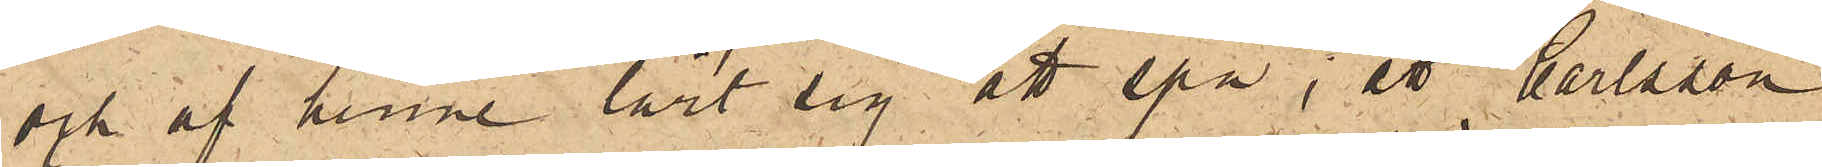och af henne lärt sig att spå; att Carlsson
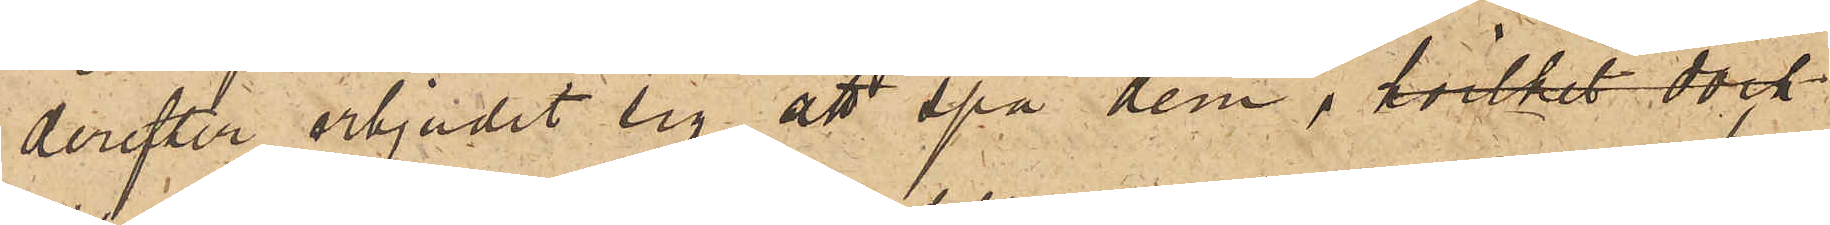derefter erbjudit sig att spå dem, hvilket dock
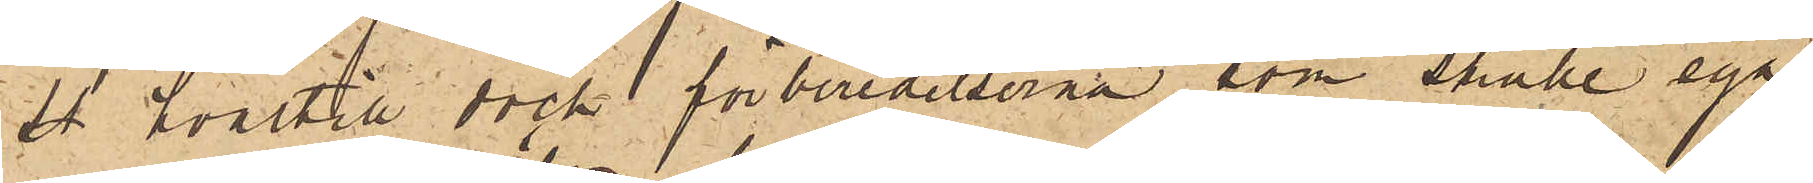at hvartill dock förberedelserna, som skulle äga
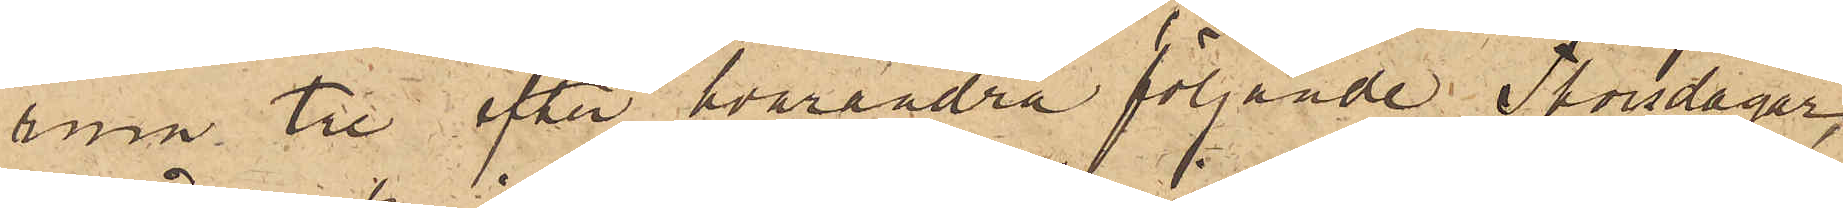rum tre efter hvarandra följande Thorsdagar,
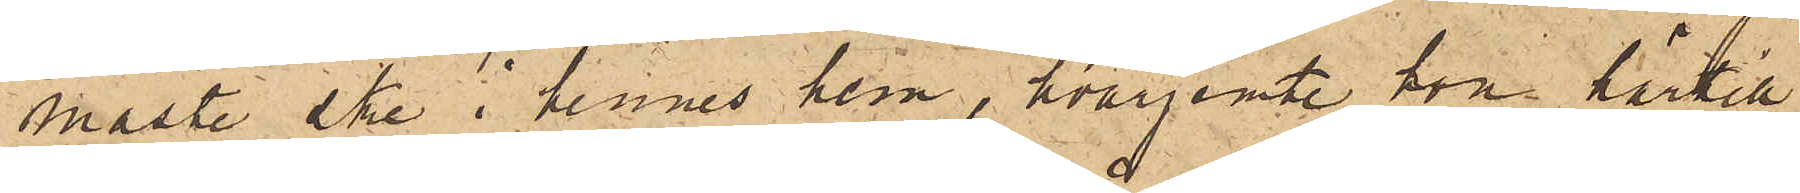måste ske i hennes hem, hvarjemte hon härtill
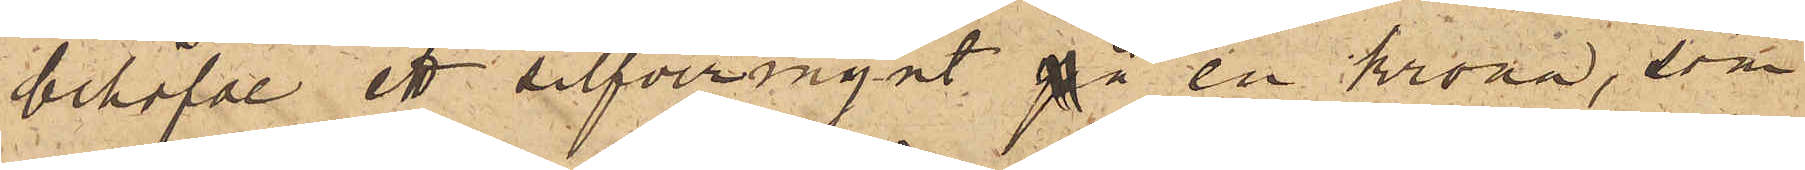behöfde ett silfvermynt på en krona, som
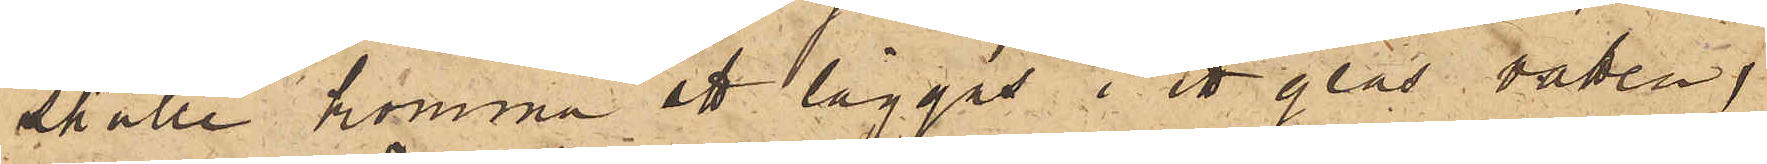skulle komma ett läggas i ett glas vatten,
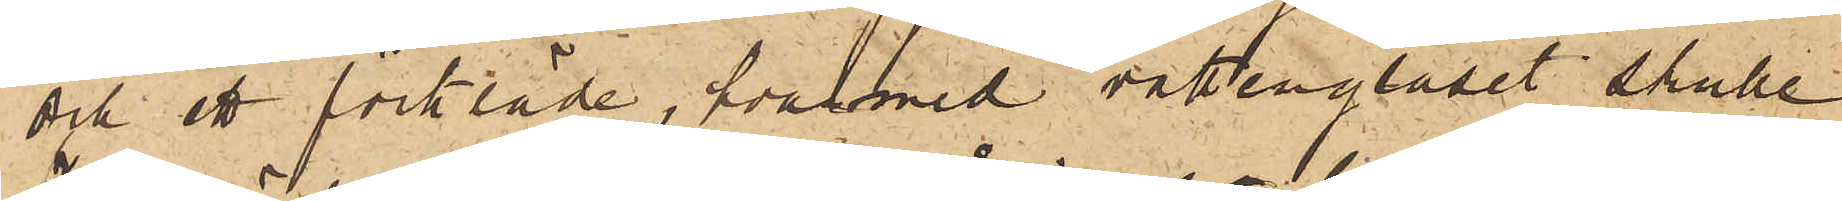och ett förkläde, hvarmed vattenglaset skulle
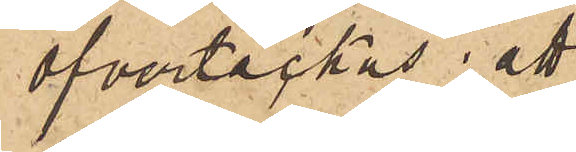öfvertäckas; att
